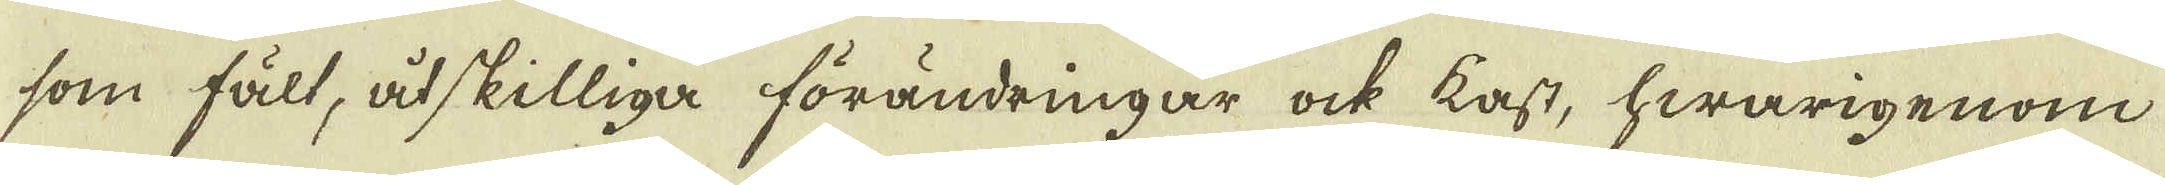som fält, åtskilliga förändringar ock kast, hwarigenom
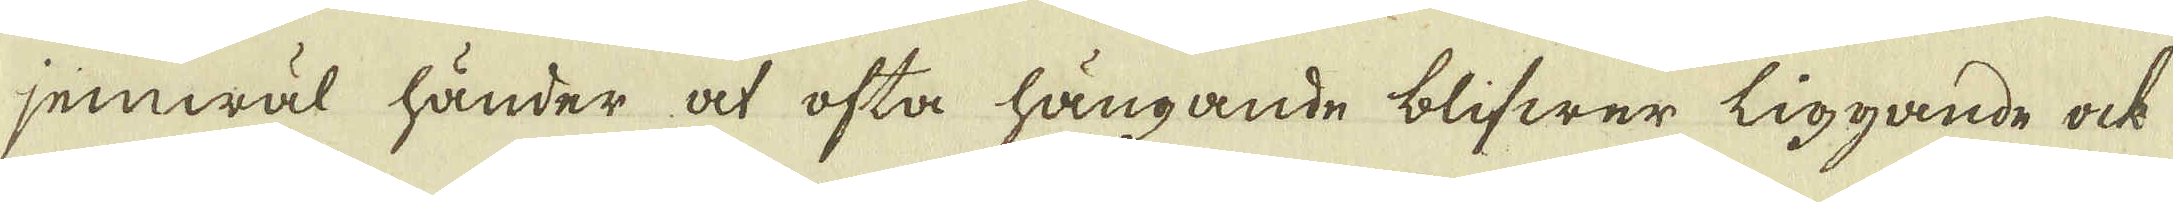jemwäl händer at ofta hängande blifwer liggande ock
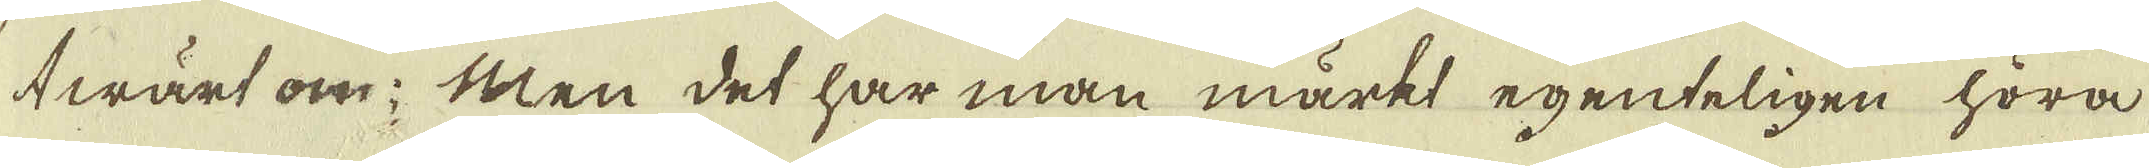twärt om; Men det har man märkt egenteligen höra
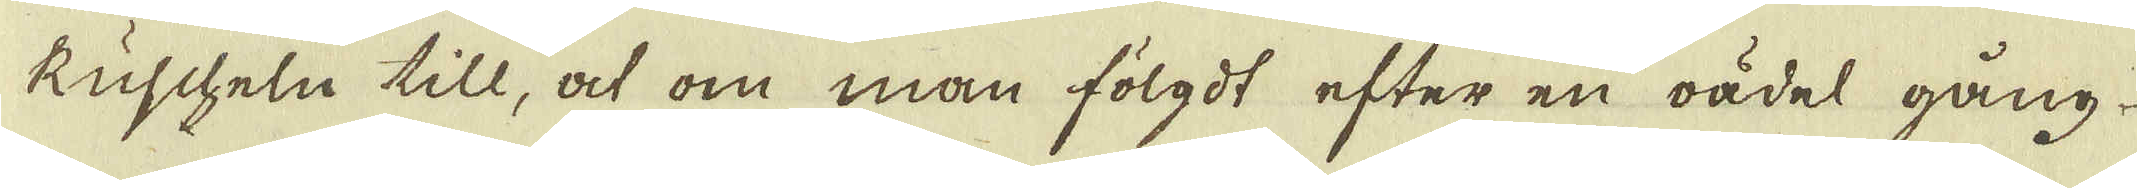Kuscheln till, at om man fölgdt efter en oädel gång
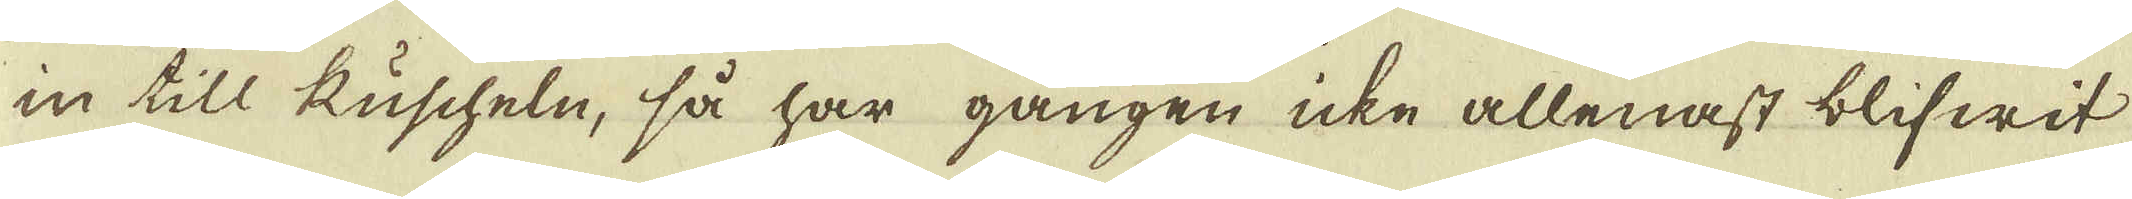in till Kuscheln, så har gången icke allenast blifwit
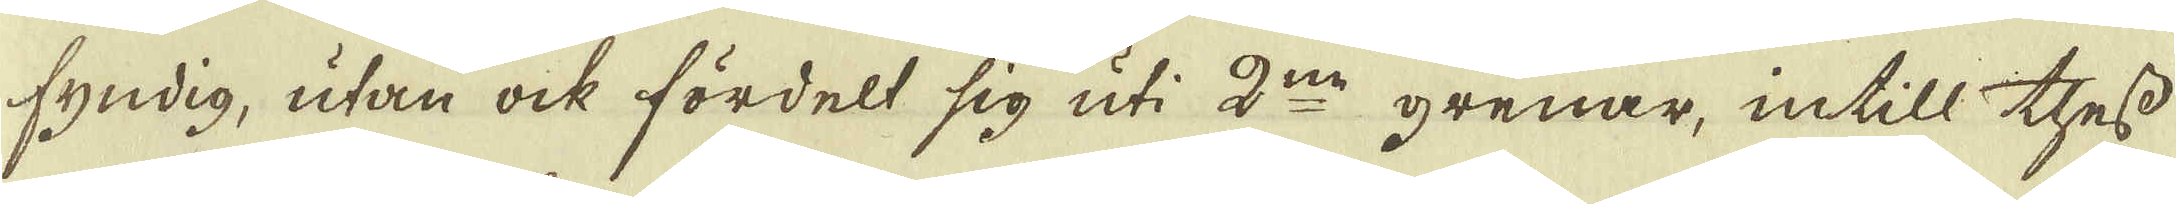fyndig, utan ock fördelt sig uti 2:ne grenar, intill thess
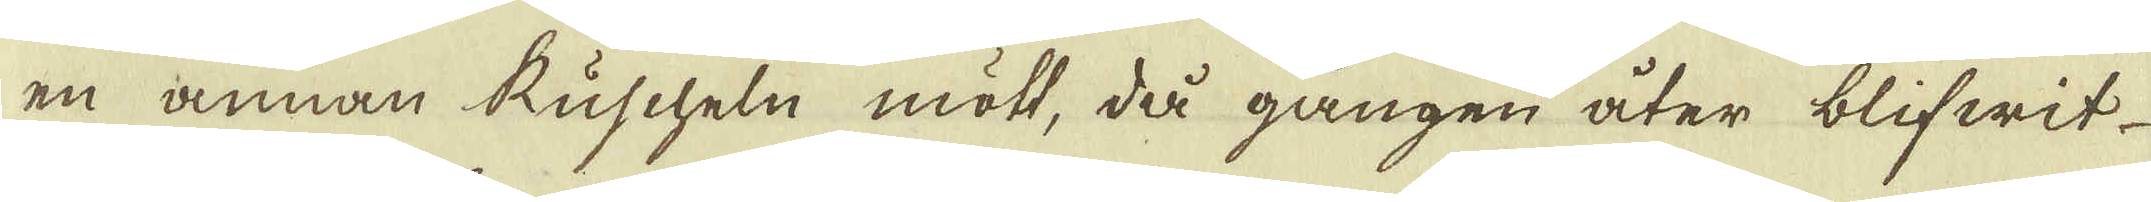en annan Kuscheln mött, då gången åter blifwit
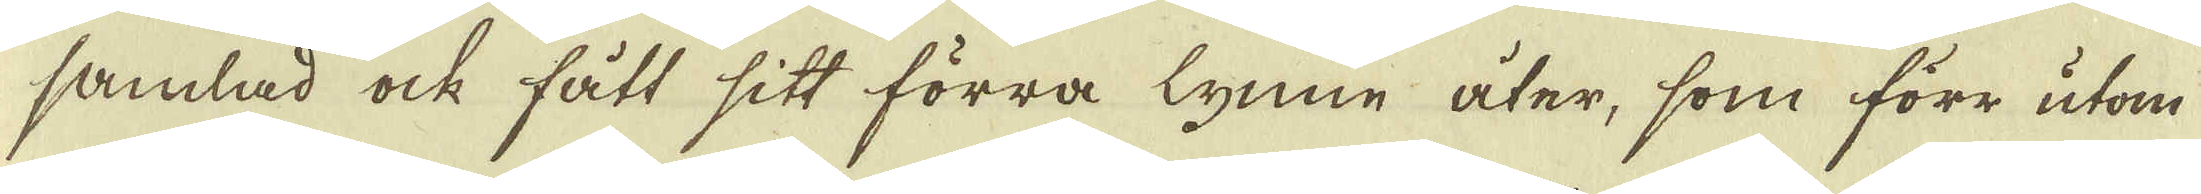samlad ock fått sitt förra lynne åter, som förr utom
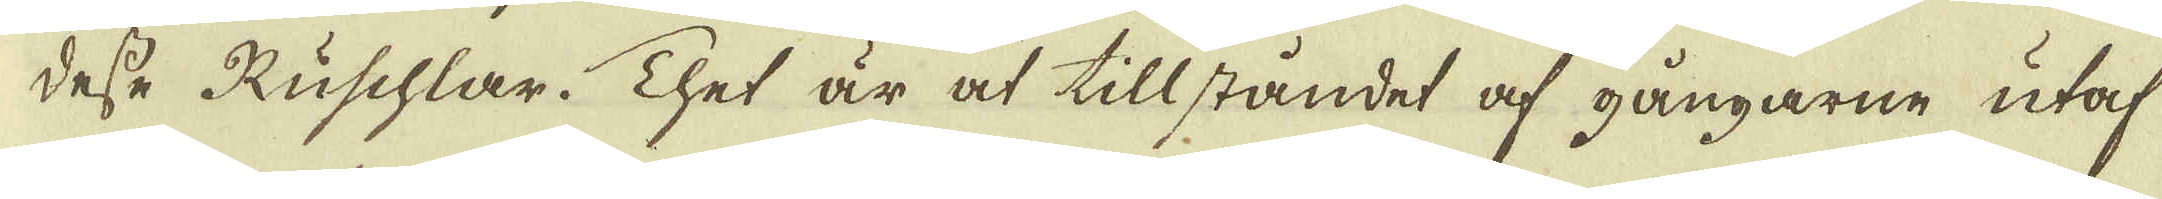desse Kuschlar. Thet är at tillståndet af gångarne utaf
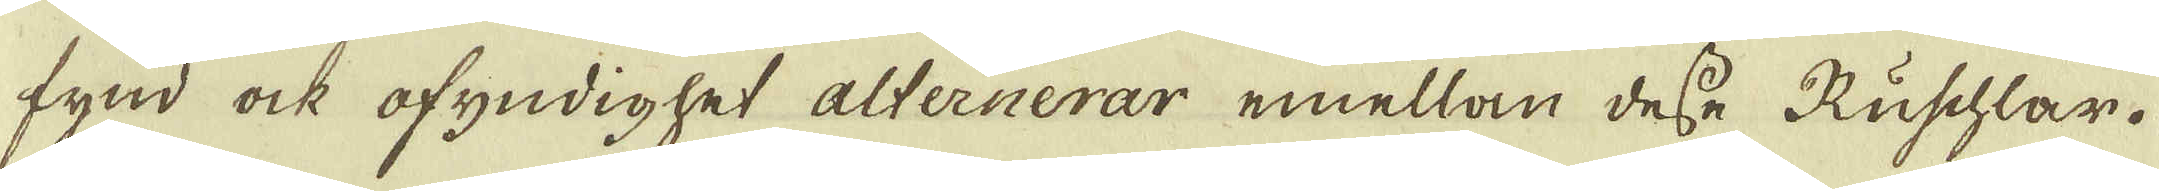fynd ock ofyndighet alternerar emellan desse Kuschlar.
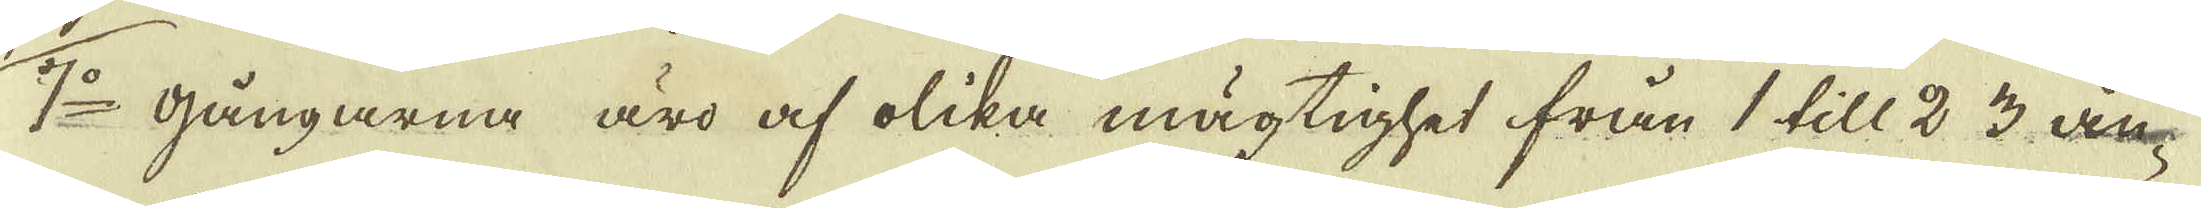7:o gångarna äro af olika mägtighet från 1 till 2 3 än-
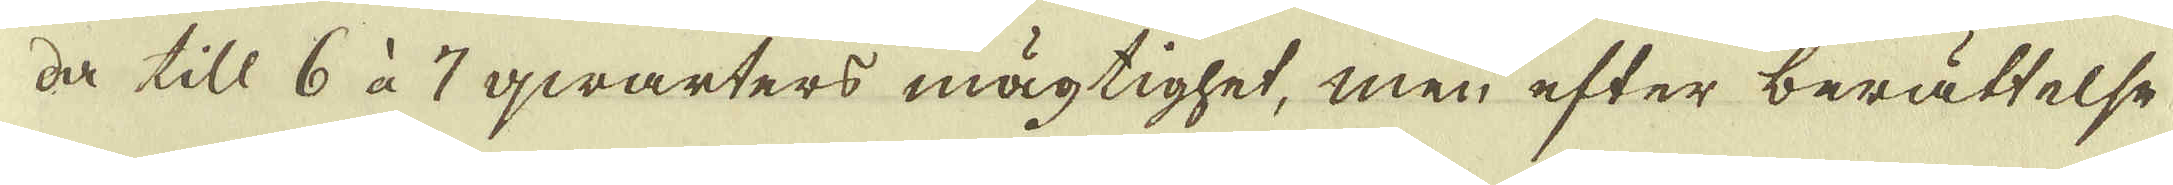da till 6 à 7 qwarters mägtighet, men efter berättelse
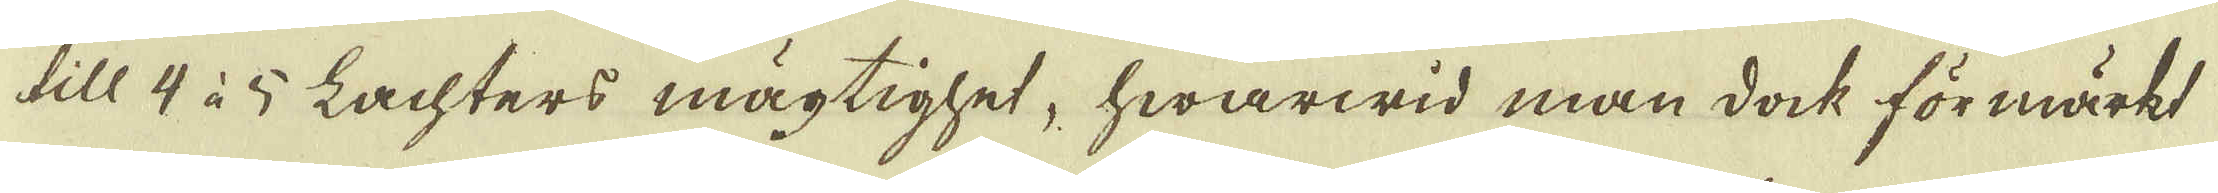till 4 à 5 Lachters mägtighet, hwarwid man dock förmärkt
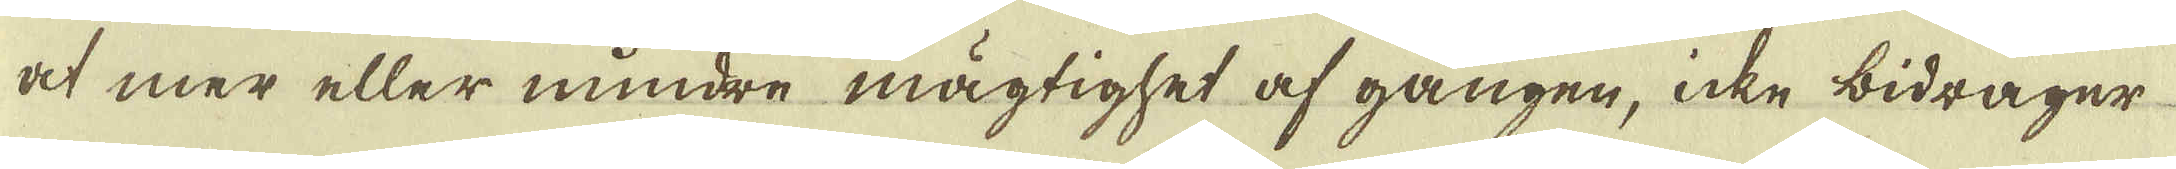at mer eller mindre mägtighet af gången, icke bidrager
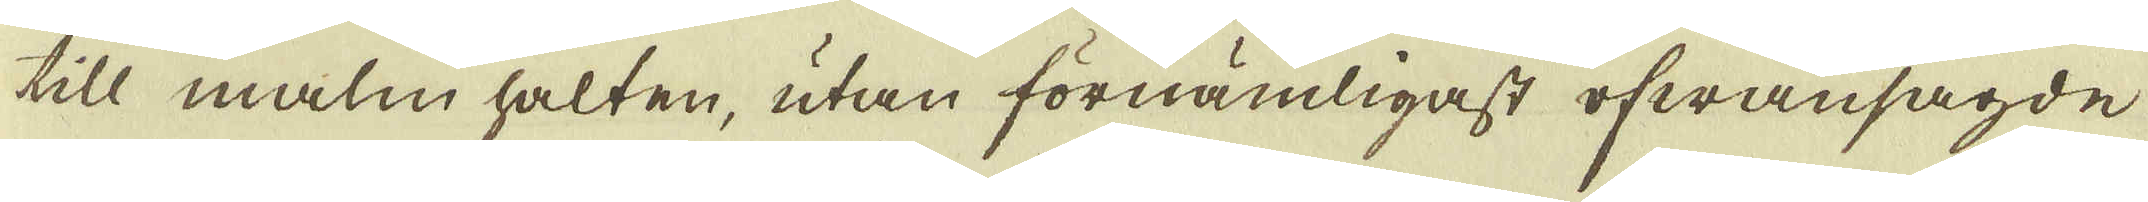till malm halten, utan förnämligast ofwansagde
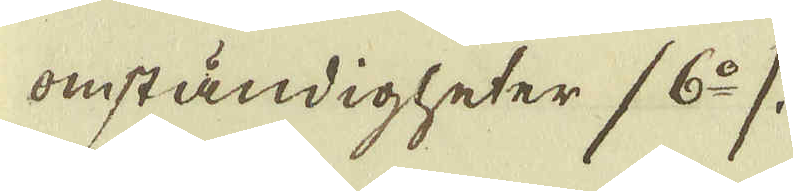omständigheter (6:o).
